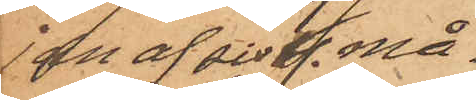jan af sistl. må¬
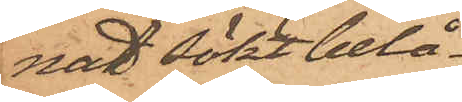nad sökt belå¬
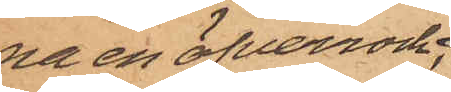na en öfverrock;
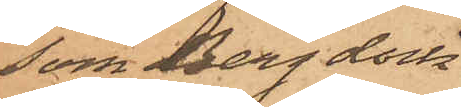som Berg dock
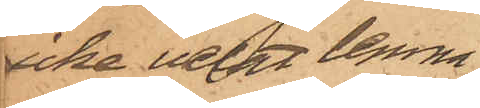icke velat lemna
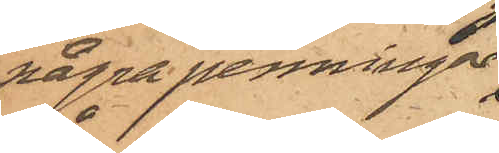några penningar
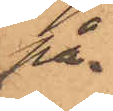på.
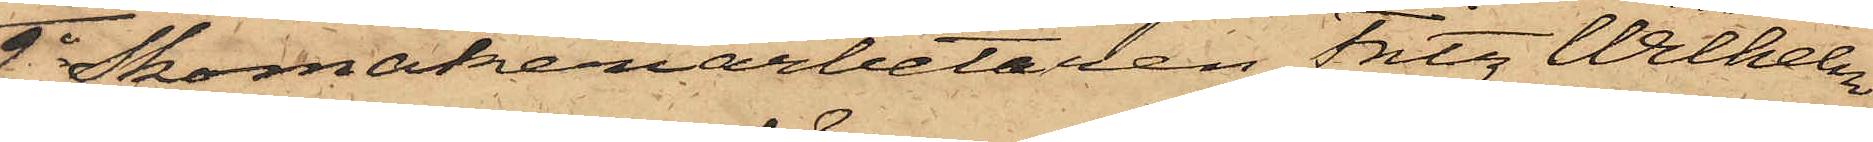2o Skomakeriarbetaren Fritz Wilhelm
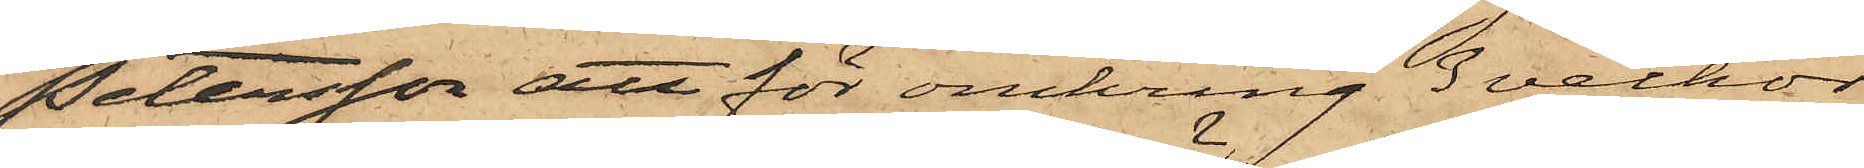Petersson att för omkring 3 veckor
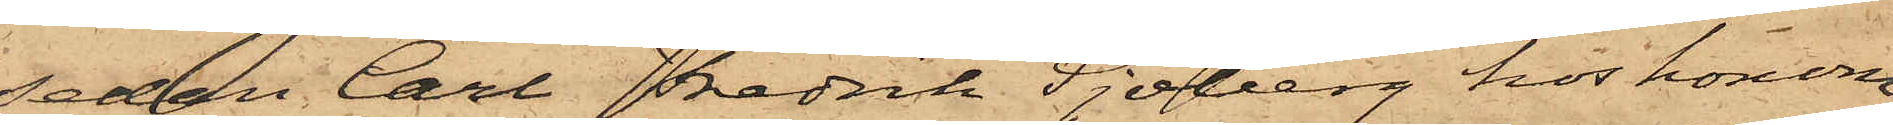sedan Carl Fredrik Sjöberg hos honom
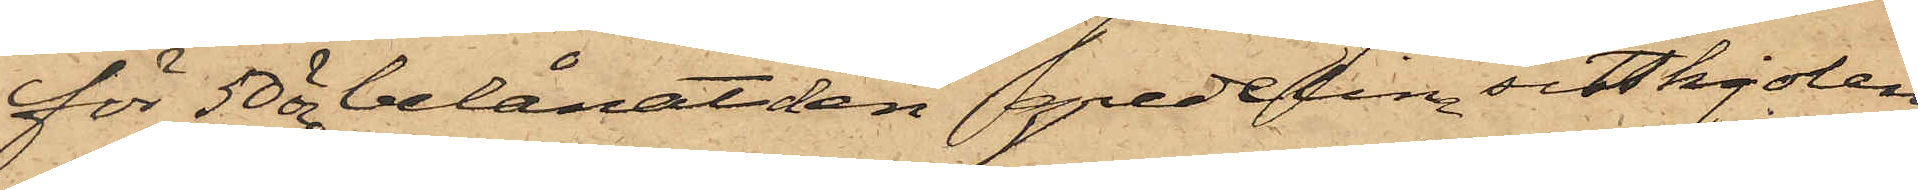för 50 öre belånat den gredelina sitskjolen
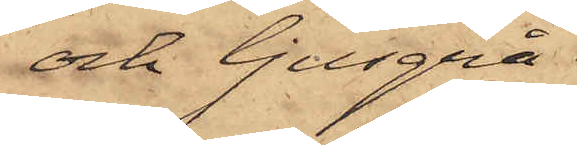och ljusgrå
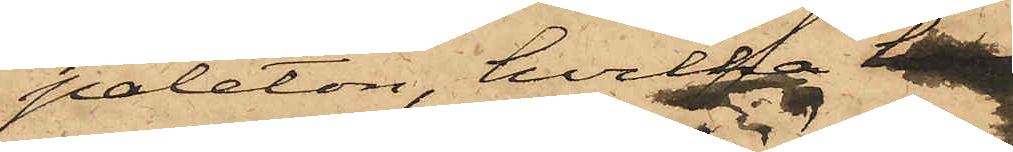paleton, hvilka h
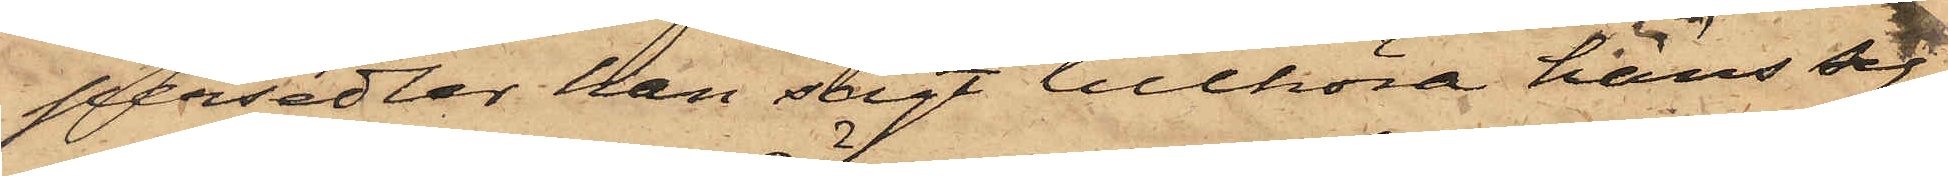persedlar han sagt tillhöra hans sy¬
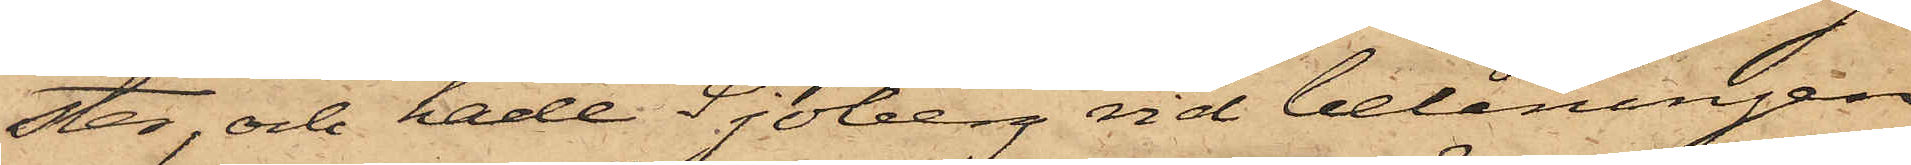ster, och hade Sjöberg vid belåningen
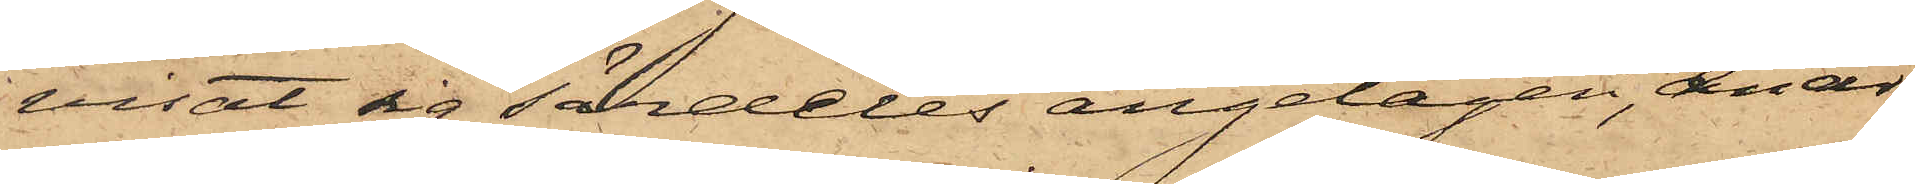visat sig särdeles angelägen, enär
